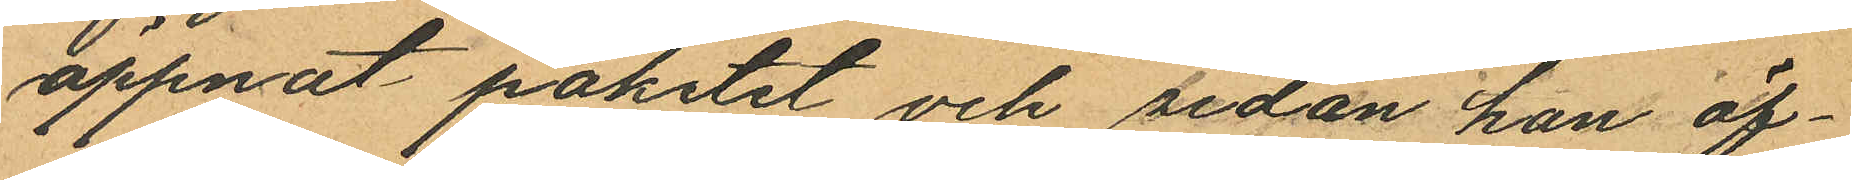öppnat paketet och sedan han öf¬
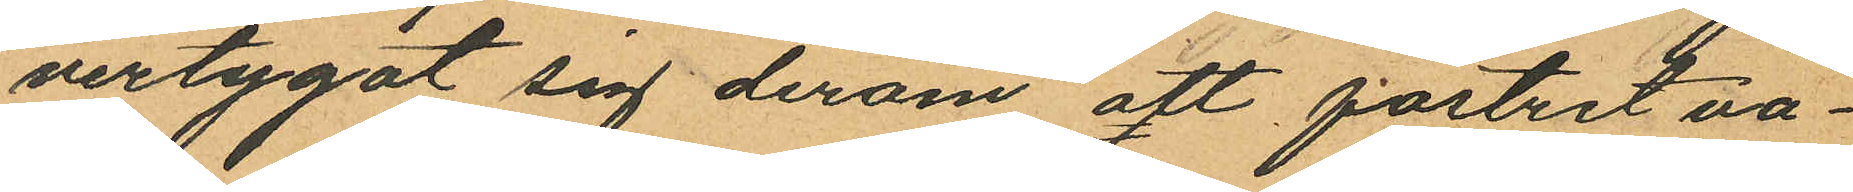vertygat sig derom att fostret va¬
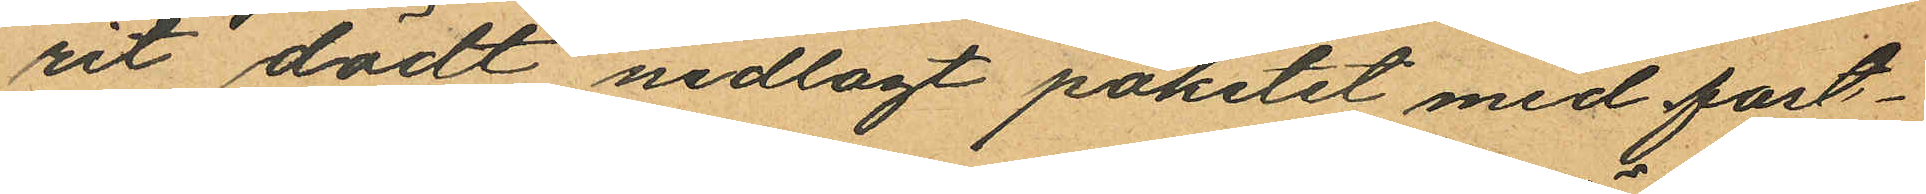rit dödt nedlagt paketet med fost¬
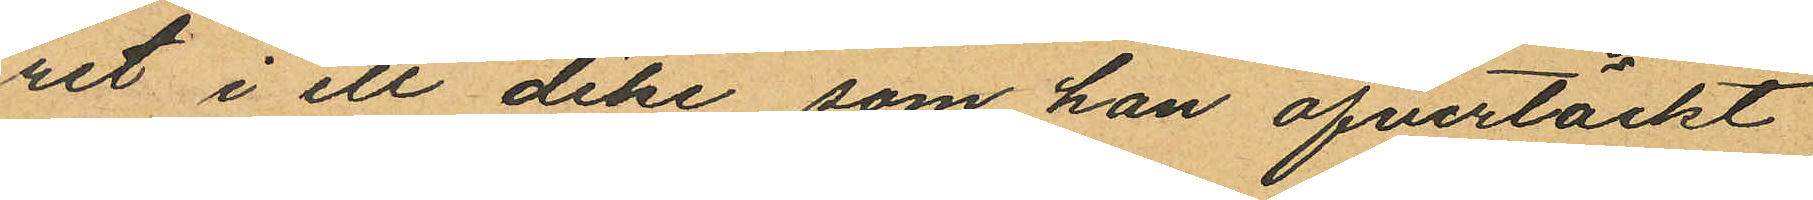ret i ett dike som han öfvertäckt
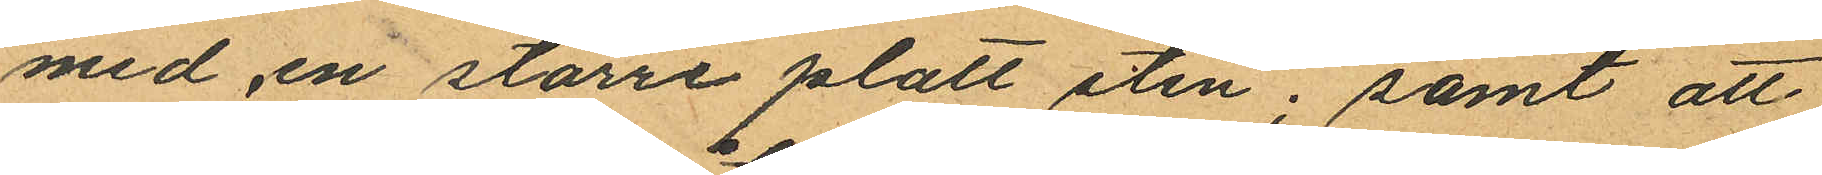med en större platt sten; samt att
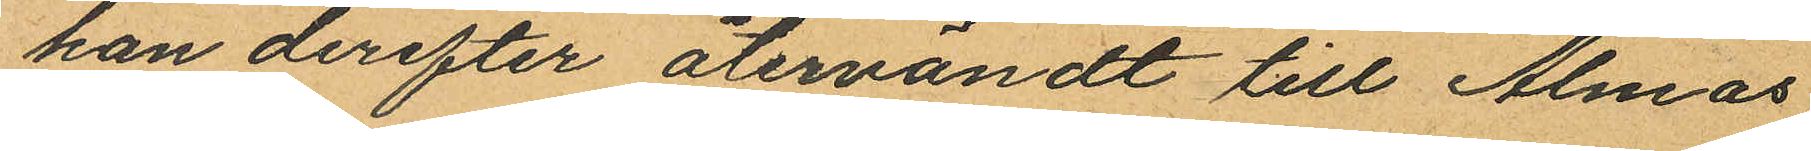han derefter återvändt till Almas
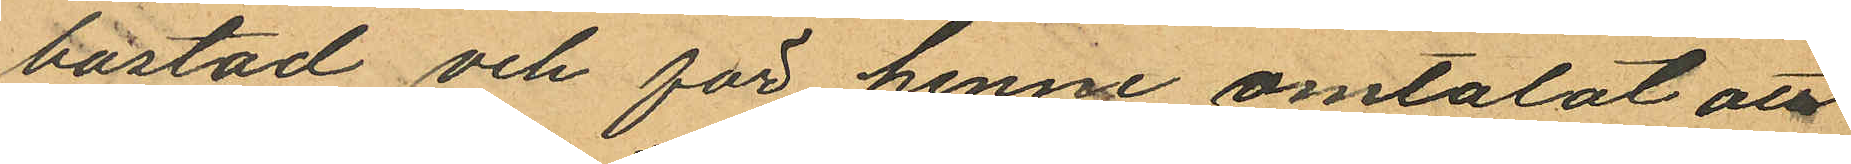bostad och för henne omtalat att
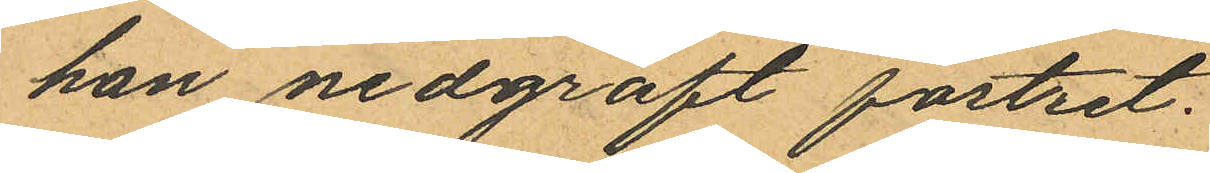han nedgräft fostret.
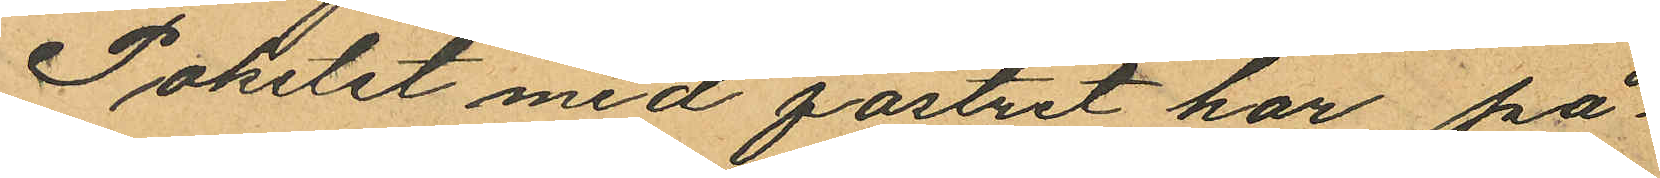Paketet med fostret har på¬
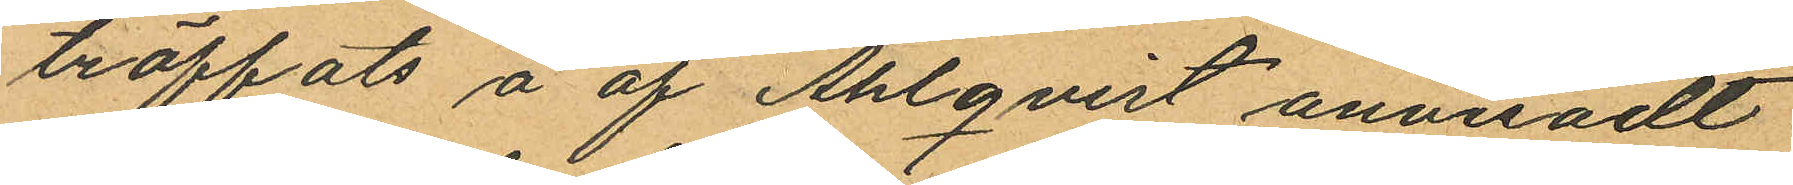träffats å af Ahlqvist anvisadt
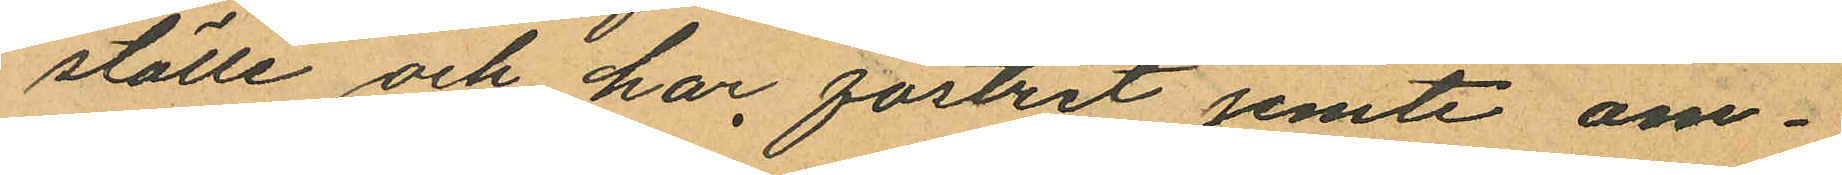ställe och har fostret jemte om¬
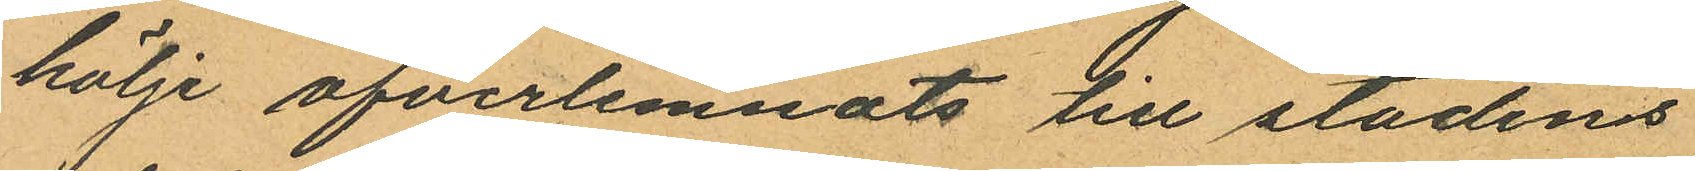hölje öfverlemnats till stadens
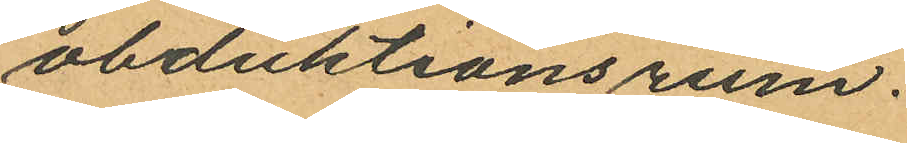obduktionsrum.
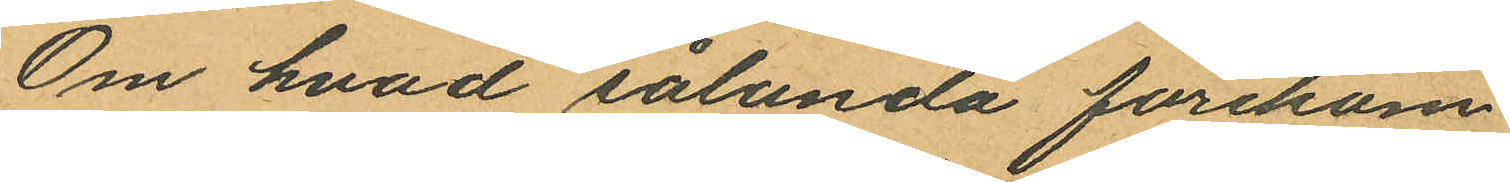Om hvad sålunda förekom¬
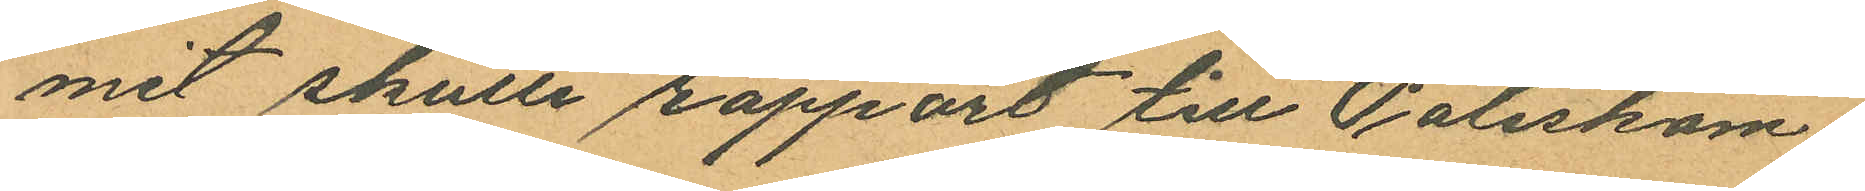mit skulle rapport till Poliskam¬
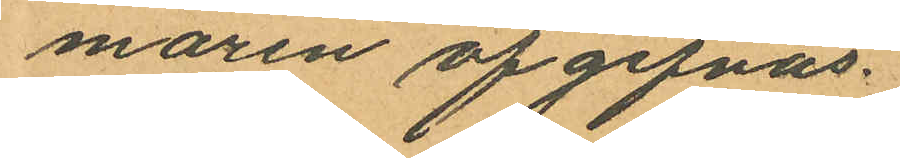maren afgifvas.
